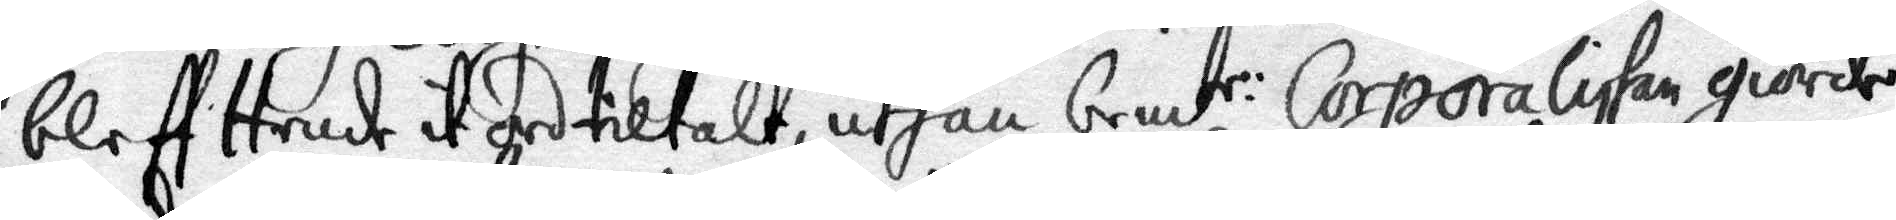bleff Hemt it och tiltalt, uthan bem:te Corporaliskan giode
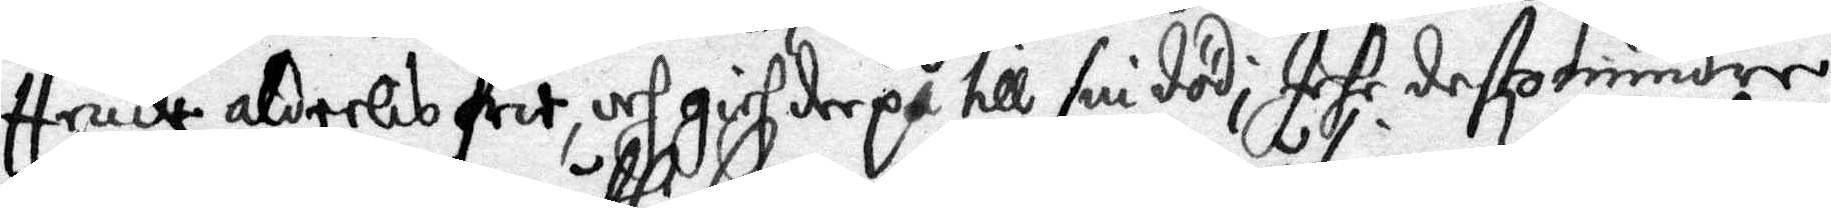Hende aldeelis fri och gich derpå till sin död; Iche destomindre
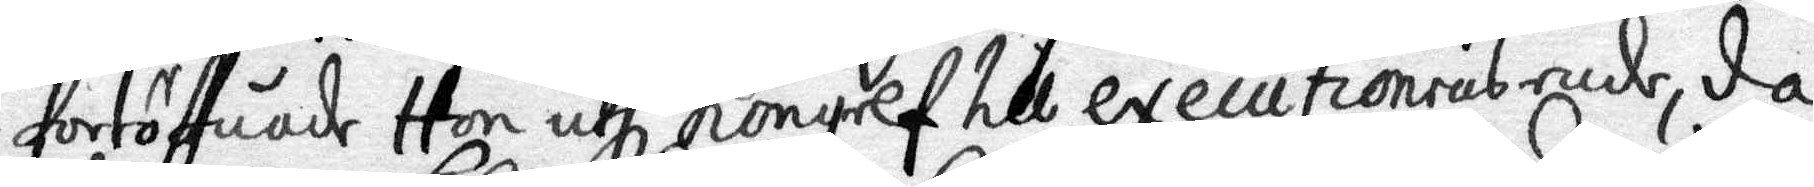fortöffuade Hon uthi Kongelf till executionens ende, då
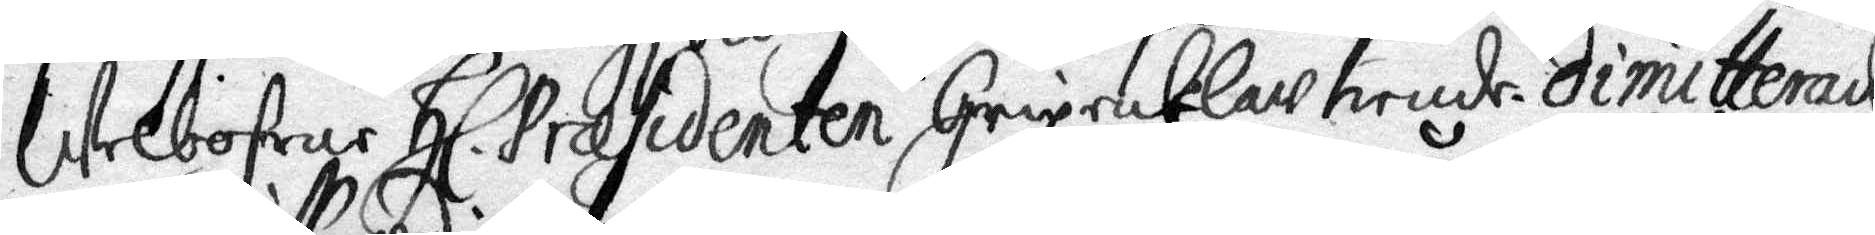Welbohrne Hl. Præsidenten Grip enklaw hende, dimitterade
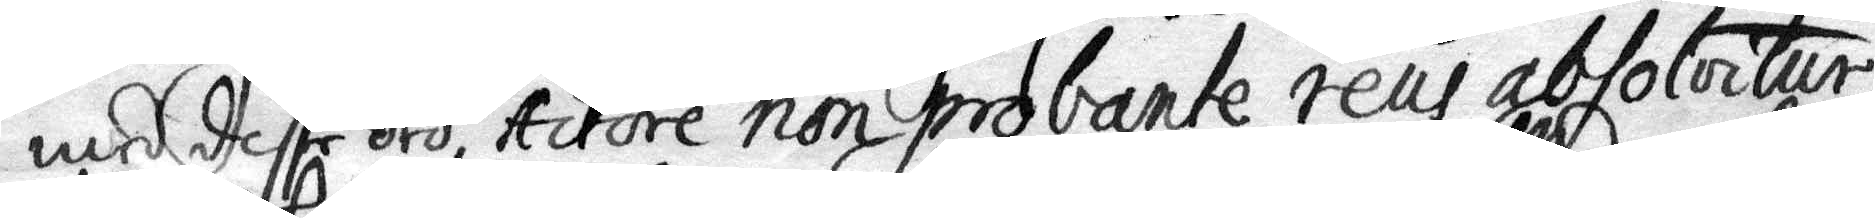med disse ord; Actore non probante reus absoluitur,
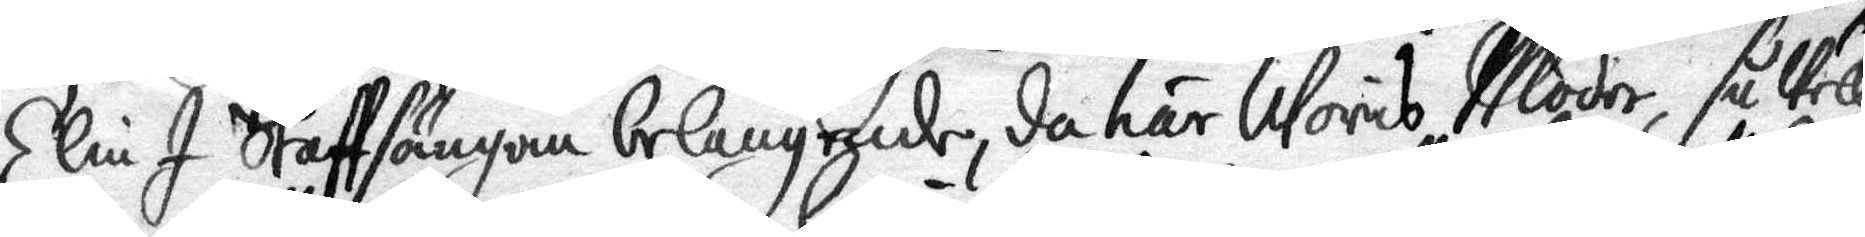Elin I Staffsängan belangende, da här Woris Moder, så Vell
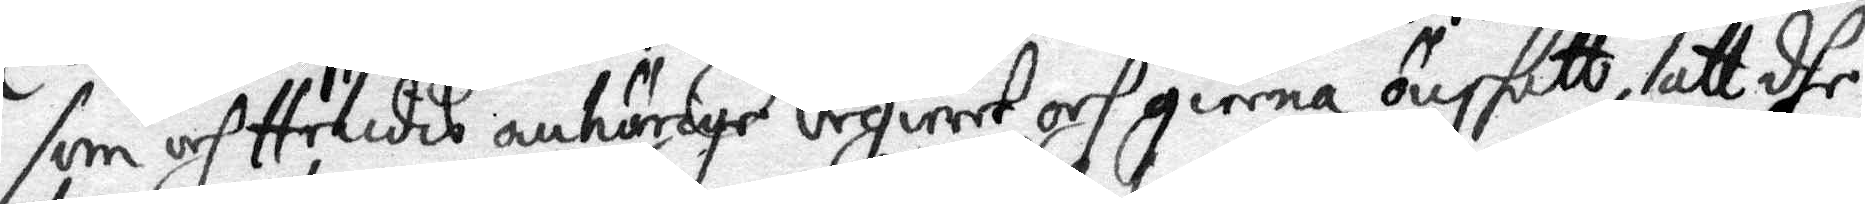som och Hendis anhörige begiert och gierna önskatt, att dhe
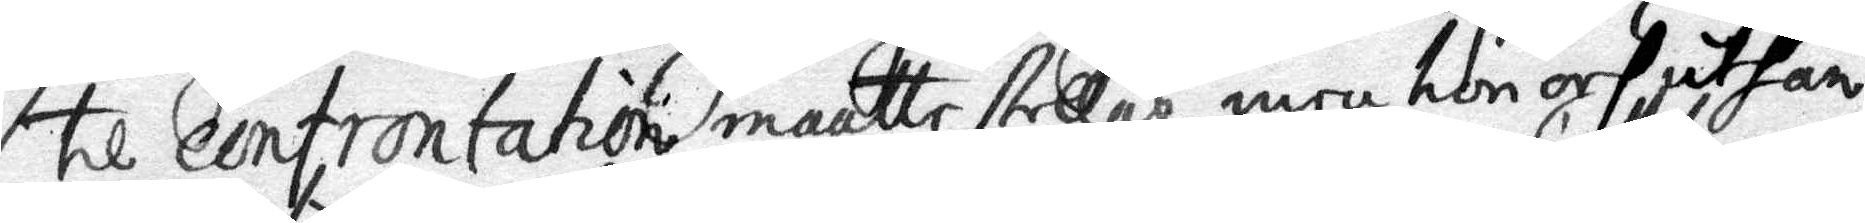til confrontation matte stellas, men hon och uthan
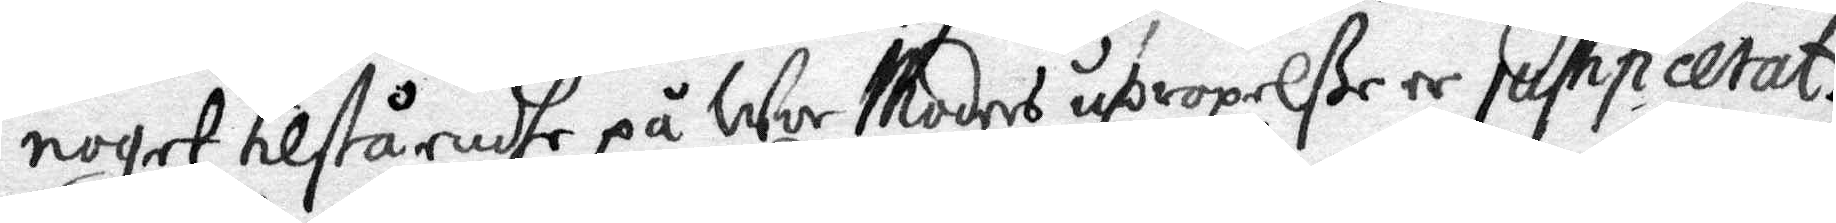noget tilståendhe på Wor Moders upropelße er justificerat.
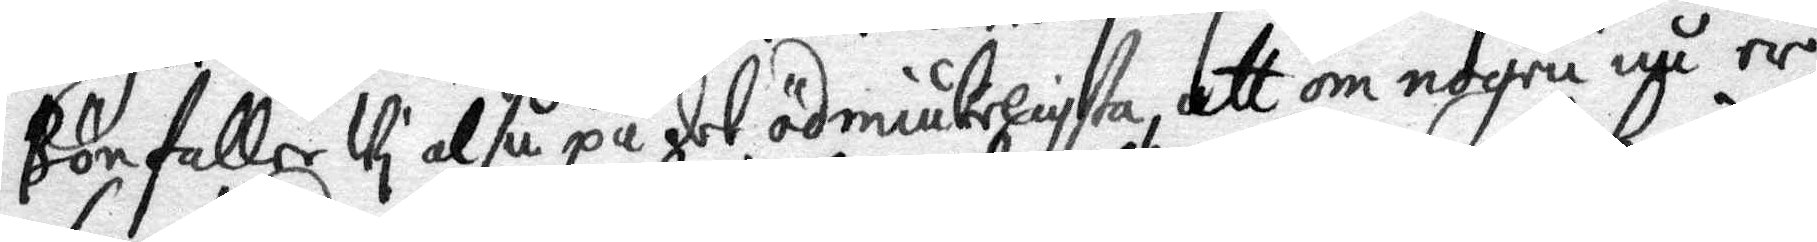Bönfaller Vi alså på det ödmiukeligsta, att om nogra nu er
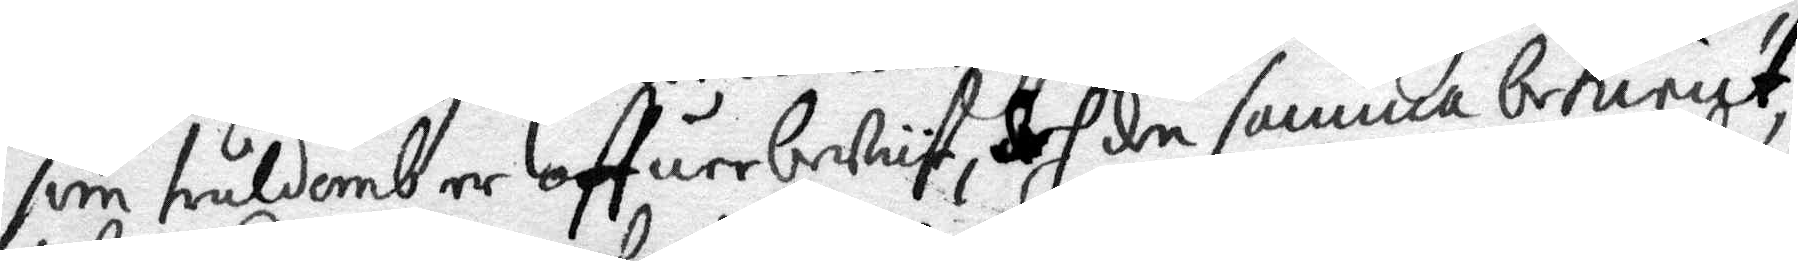som truldomb er offuerbeVist, doch den samma bekient,
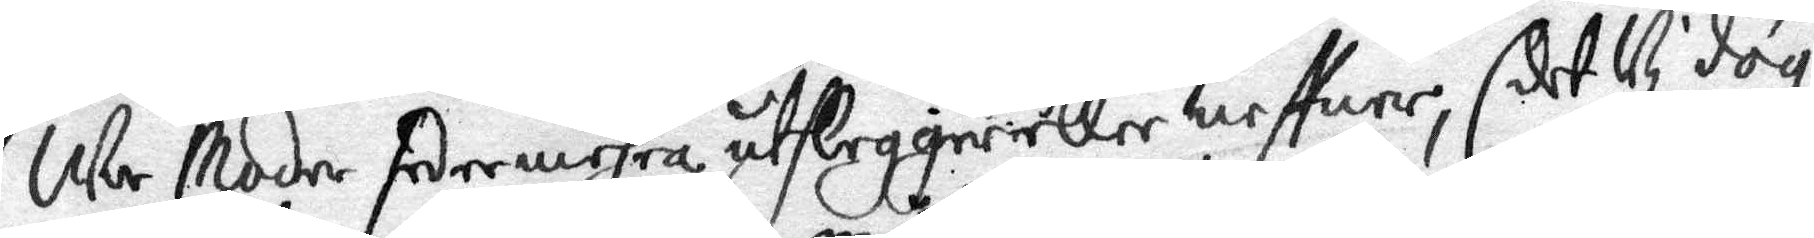We Moder sedermehra uthleggierller neffuer, 
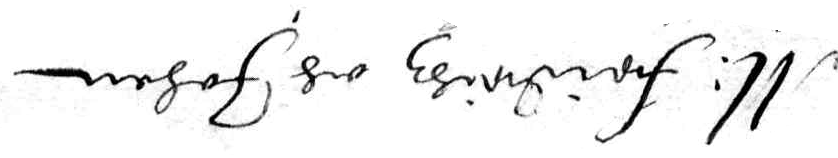M: fridrihz och Johan
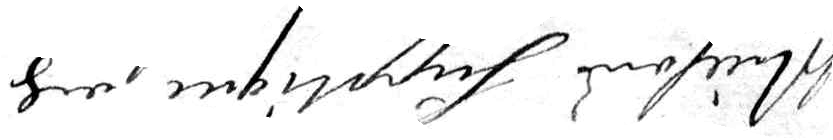Nillsons Supplique och
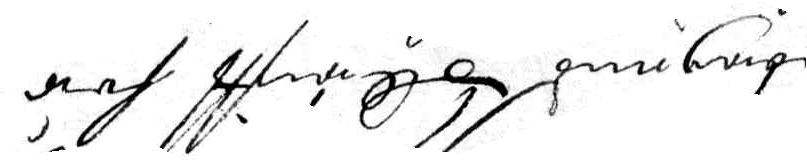borgens Skriftt för
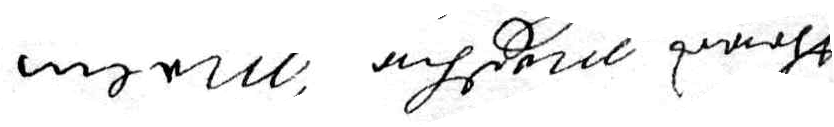theres modher Malin
